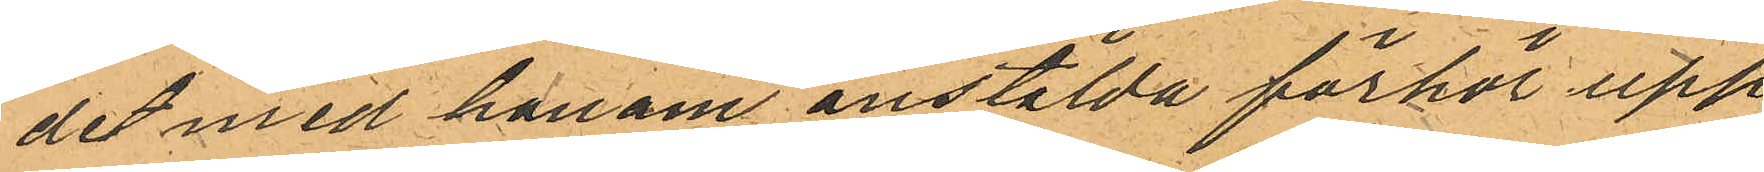det med honom anstälda förhör upp¬
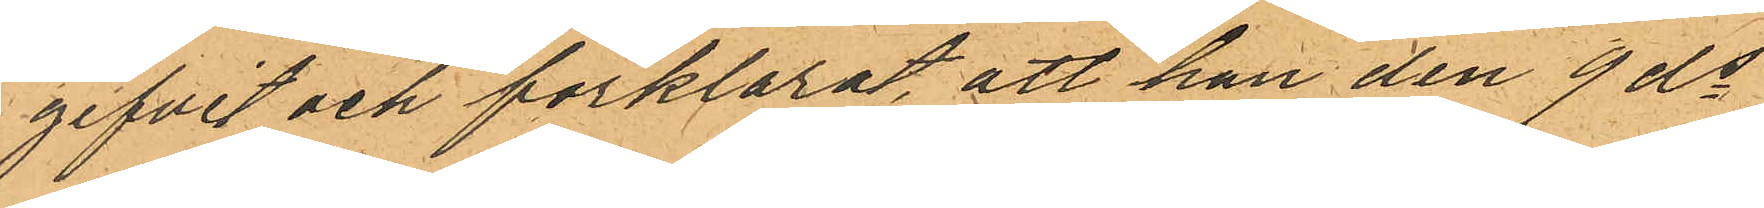gifvit och förklarat, att han den 9 ds
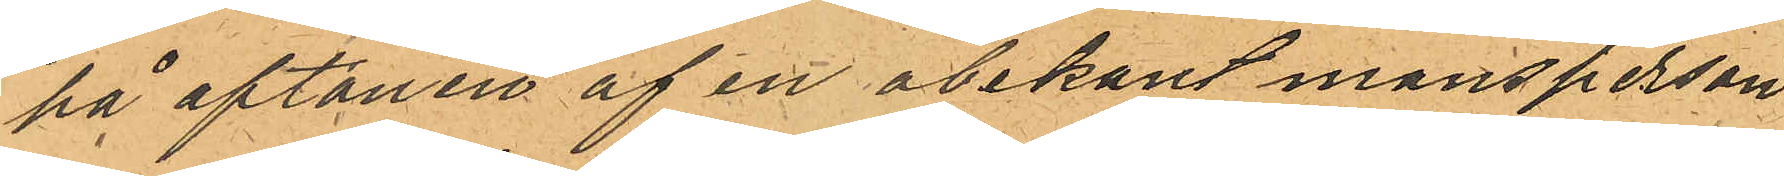på aftonen af en obekant mansperson
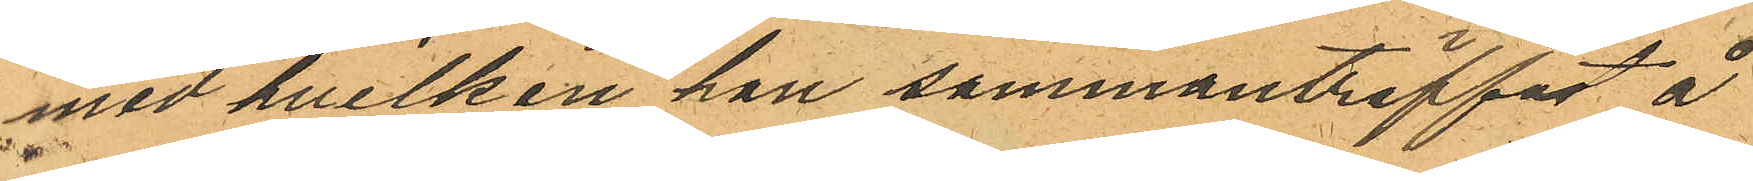med hvilken han sammanträffat å
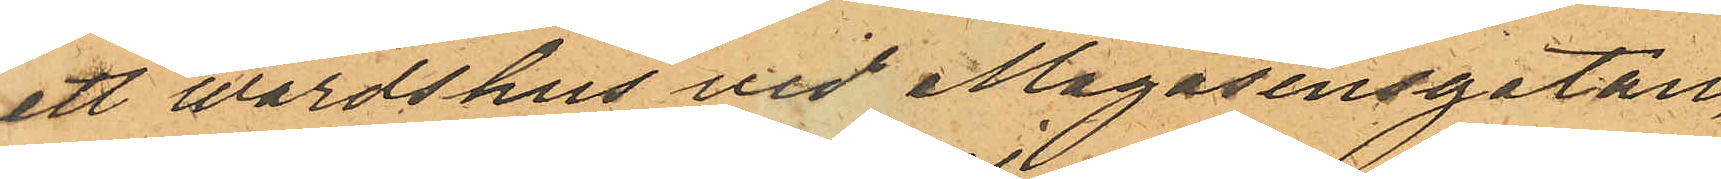ett wärdshus vid Magasinsgatan,
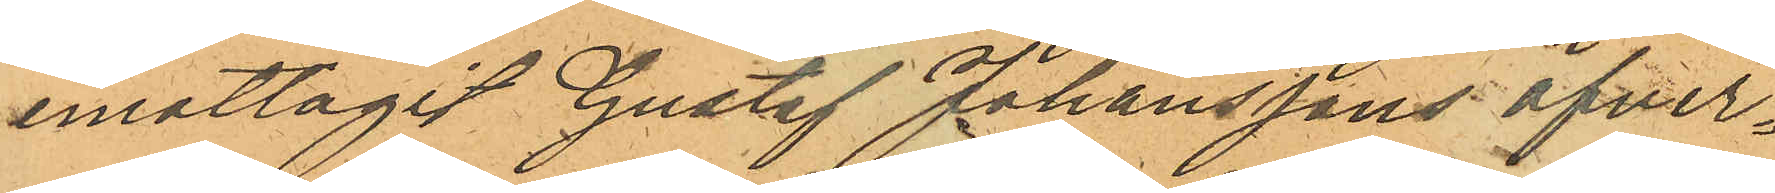emottagit Gustaf Johanssons öfver¬
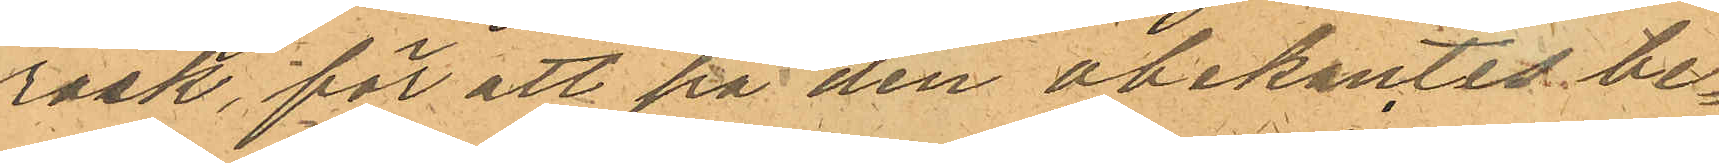rock, för att på den obekantes be¬
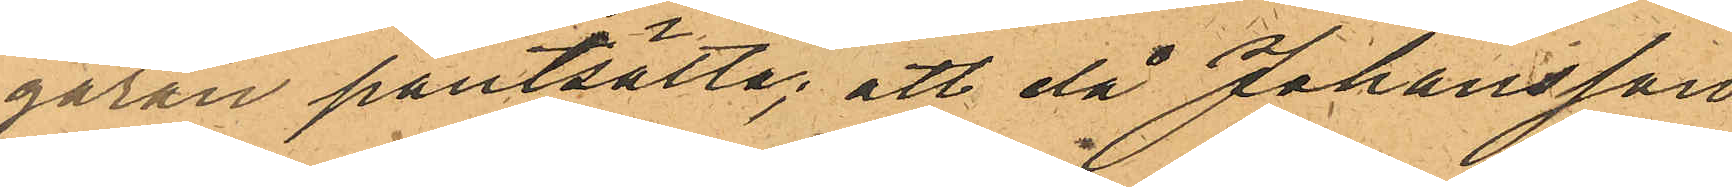gäran pantsätta; att då Johansson
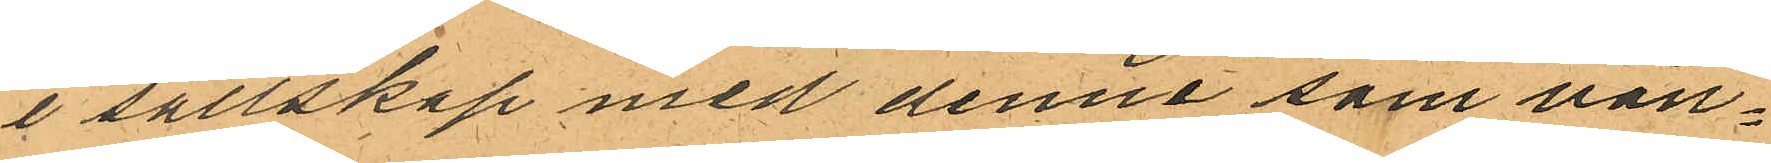i sällskap med denne som vän¬
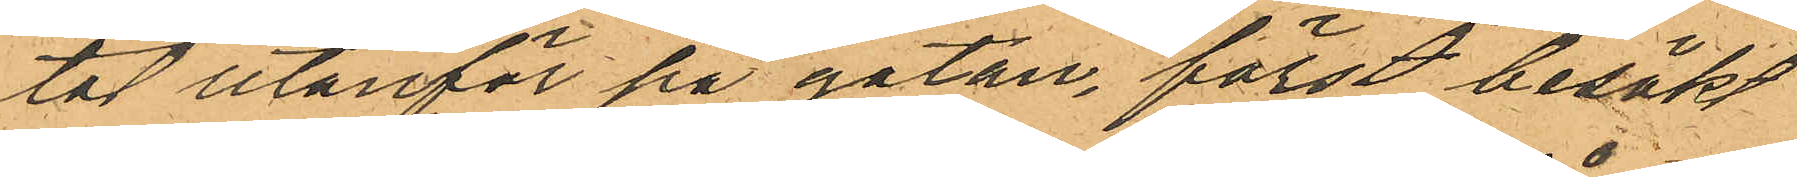tat utanför på gatan, först besökt
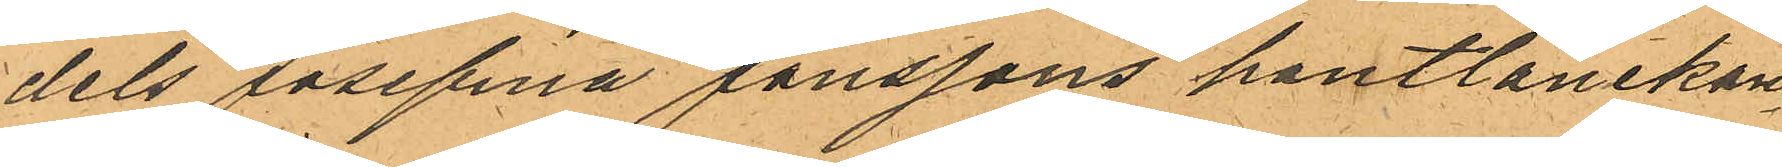dels Josefina Jonssons pantlånekon¬
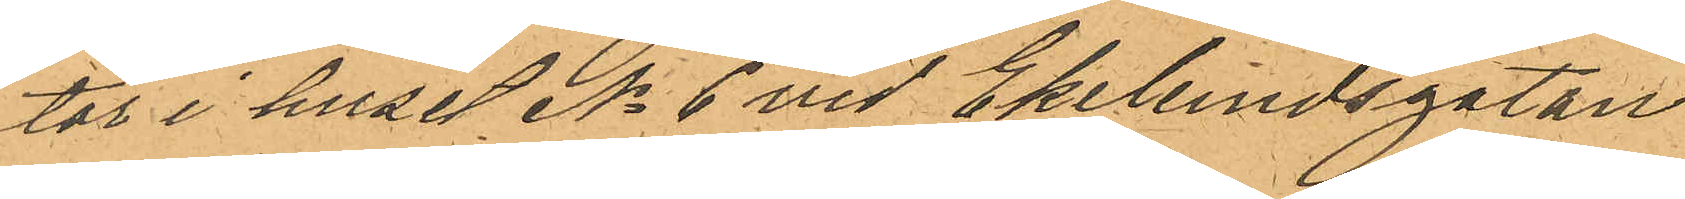tor i huset No 6 vid Ekelundsgatan
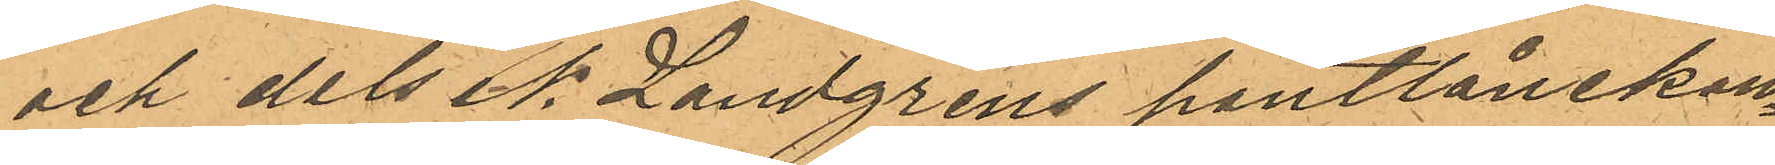och dels N. Landgrens pantlånekon¬
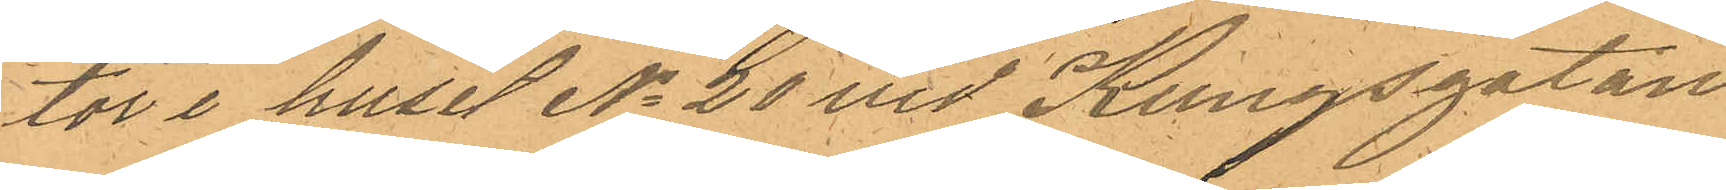tor i huset No 20 vid Kungsgatan
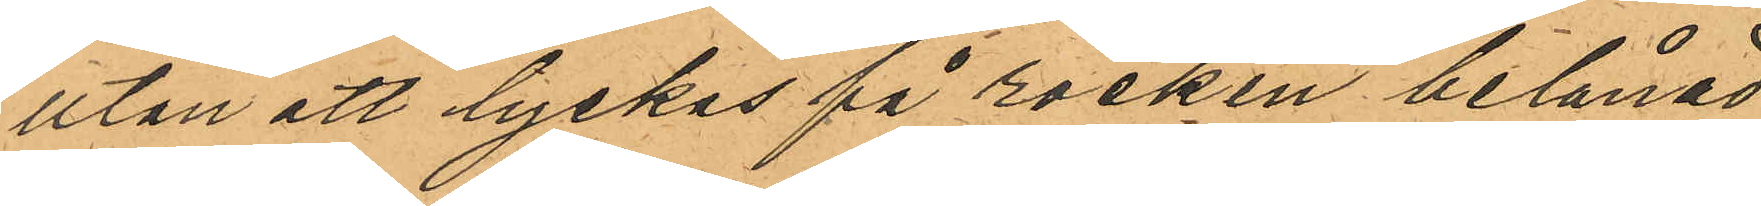utan att lyckas få rocken belånad
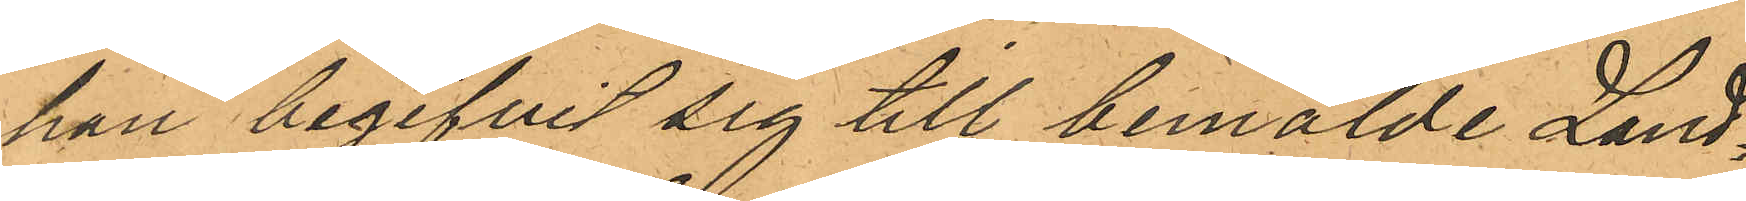han begifvit sig till bemälde Land¬
